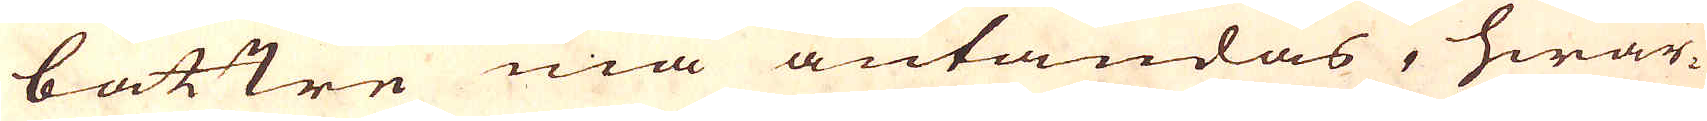bättre må antändas, hwar-
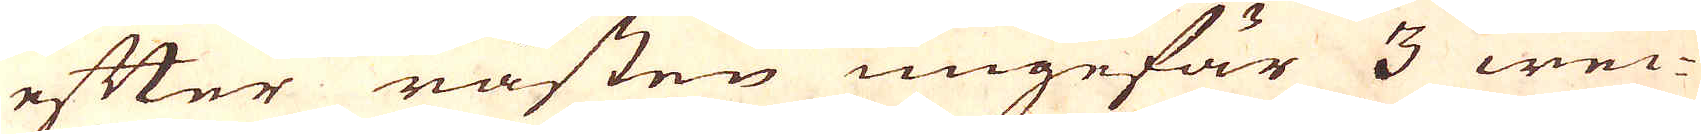efter råsten ungefär 3 wec-
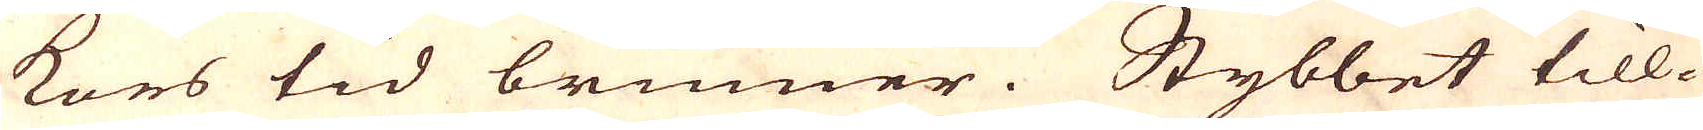kors tid brinner. Stybbet till-
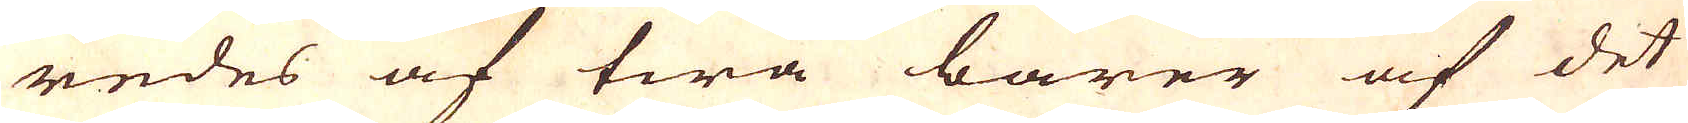redes af twå barer af det
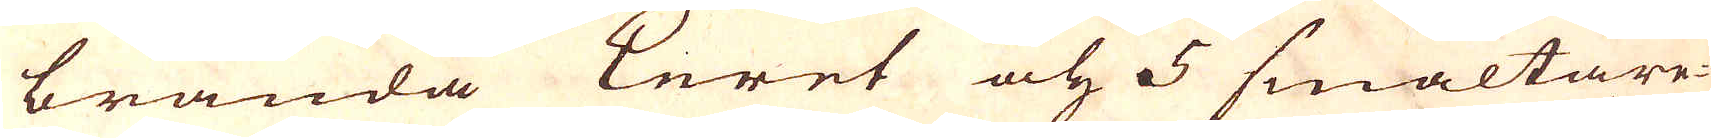brända Leret och 5 smältare-
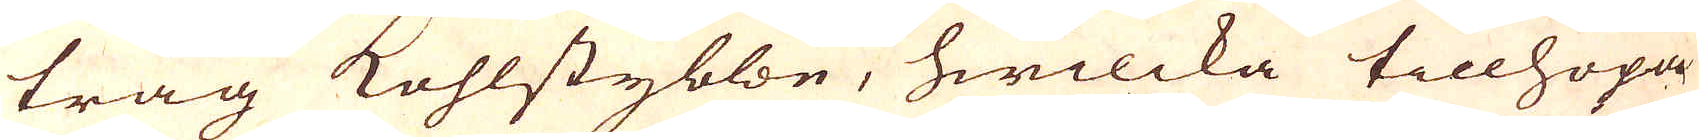tråg kohlstybbe, hwilcka tillhopa
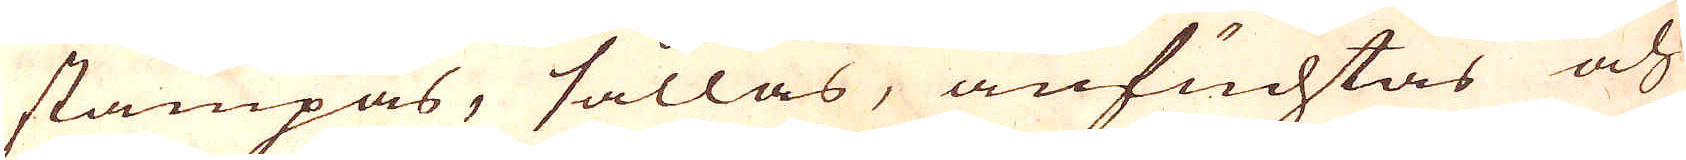stampas, sållas, anfuchtas och
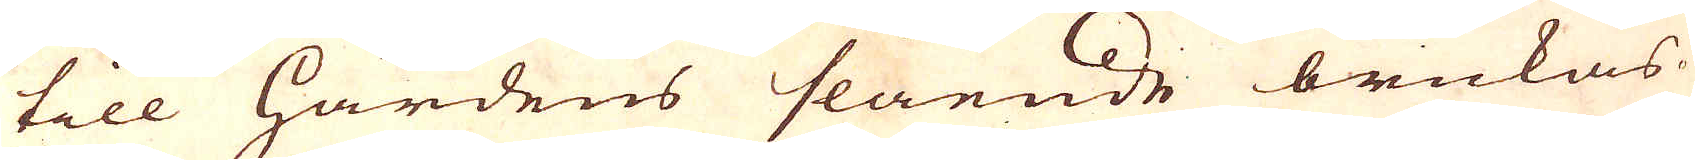till härdens slående brukas.
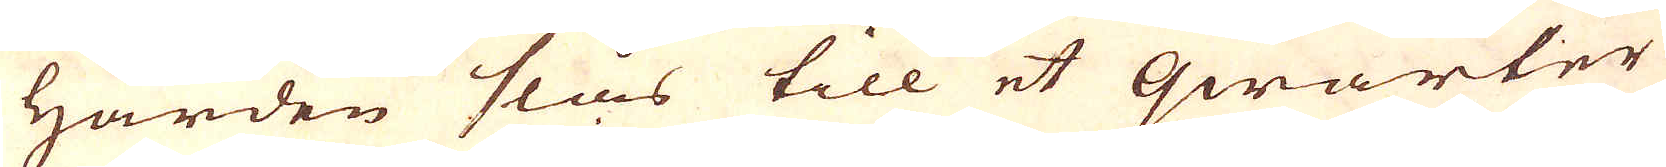Härden slås till et qwarter
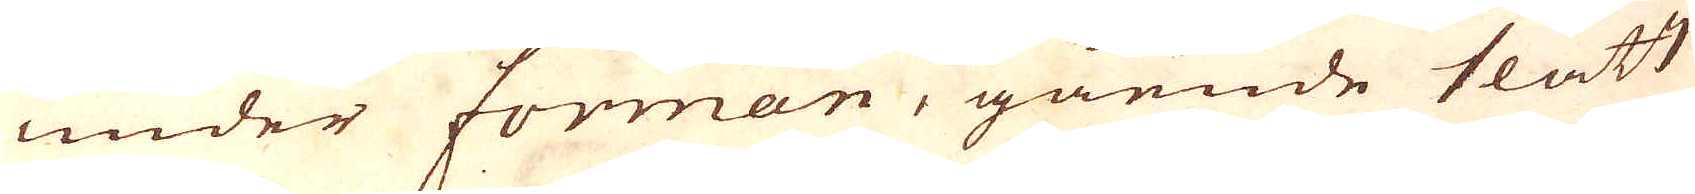under forman, gående slätt
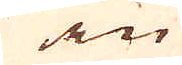in
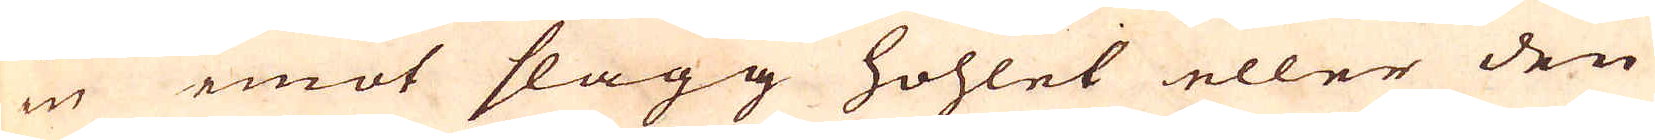in emot slagg hohlet eller den
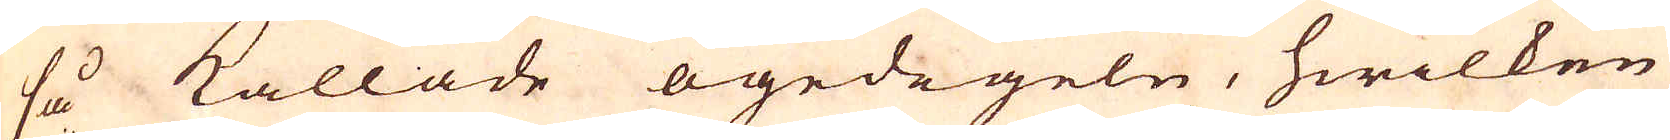så kallade ögedegeln, hwilken
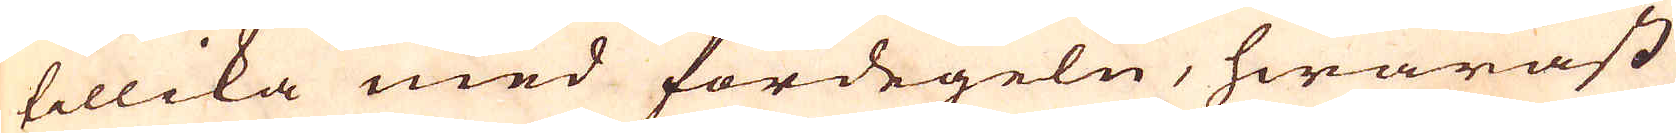tillika med fördegeln, hwaräst
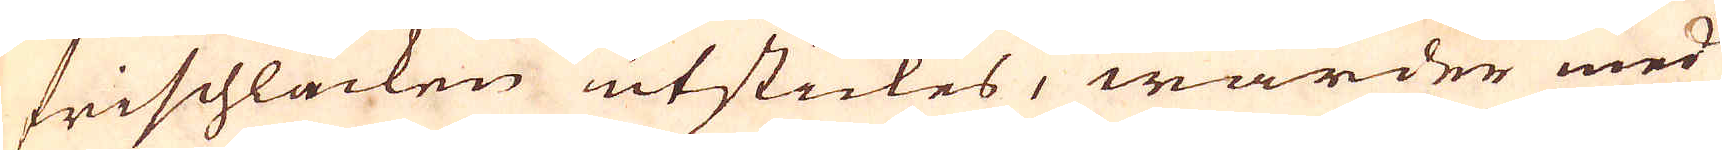frischlacken utstickes, warder med
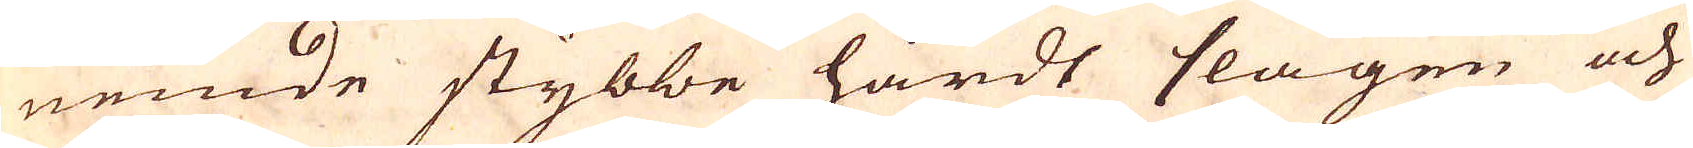nemde stybbe hårdt slagen och
